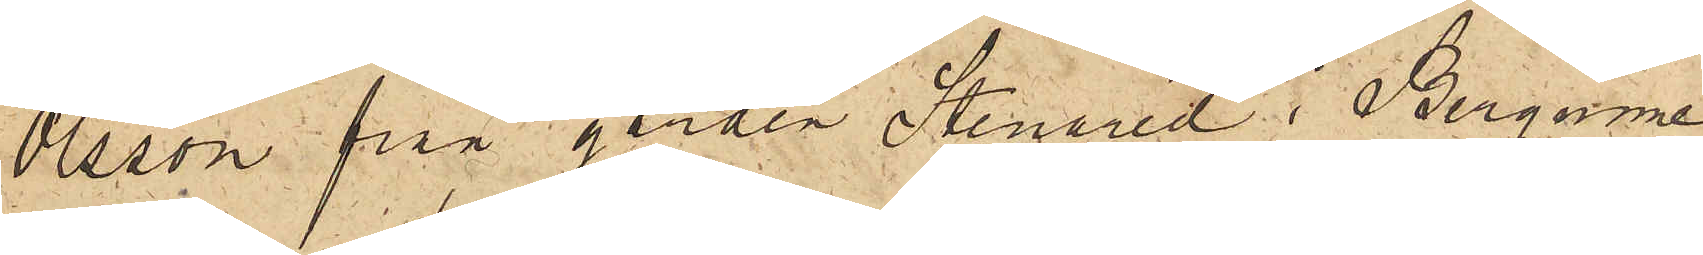Olsson på gården Stenered i Bergums 
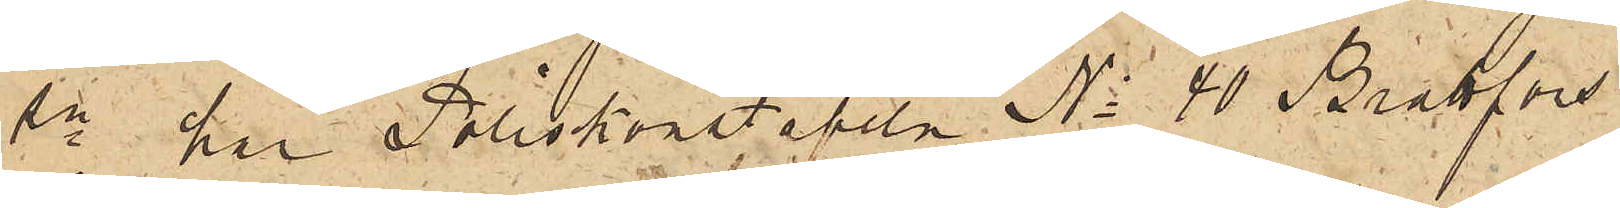sn har Poliskonstapeln No 40 Brattfors
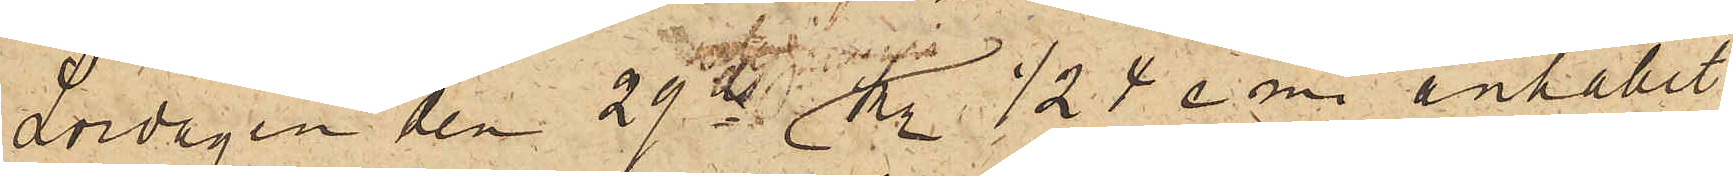Lördagen den 29 ds kl. ½ 4 e. m. anhållit
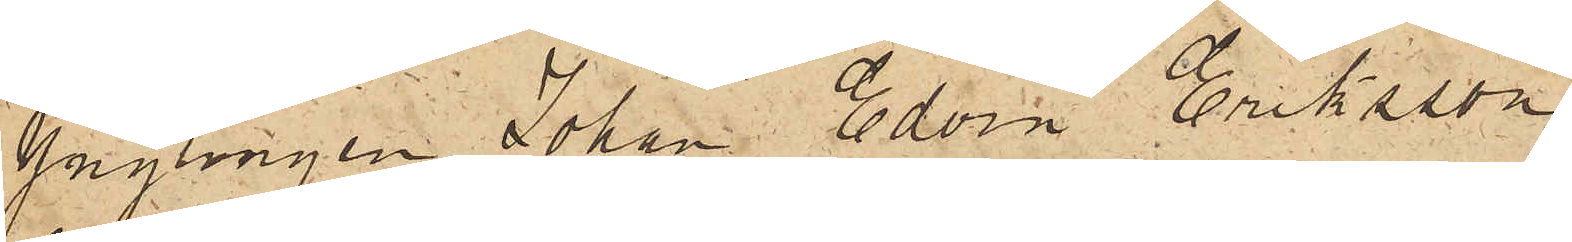Ynglingen Johan Edvin Eriksson,
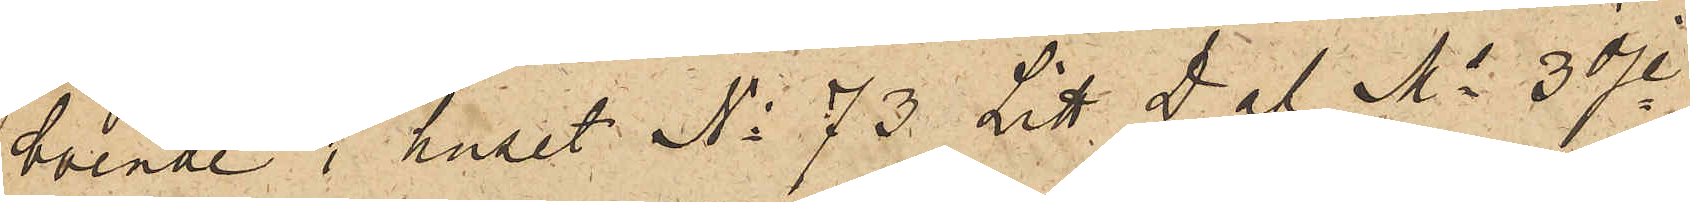boende i huset No 73 Litt. D af Ms 3dje
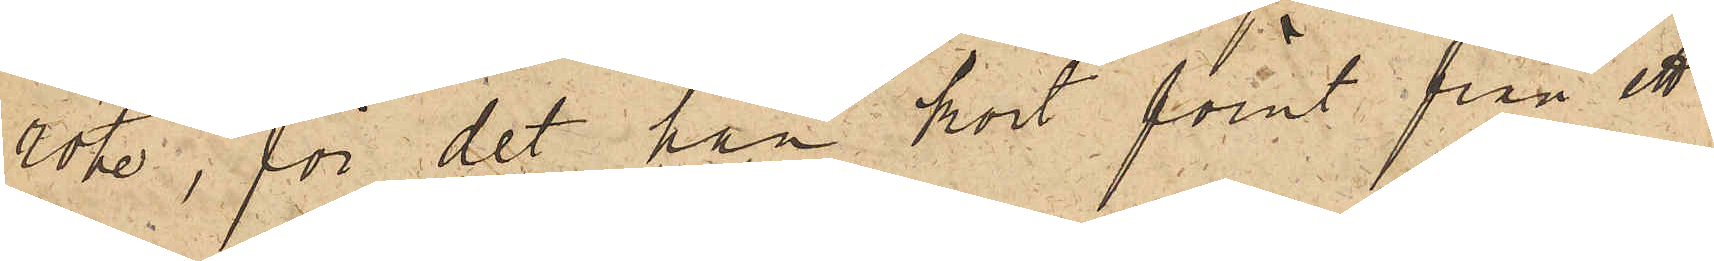rote, för det han kort förut från ett
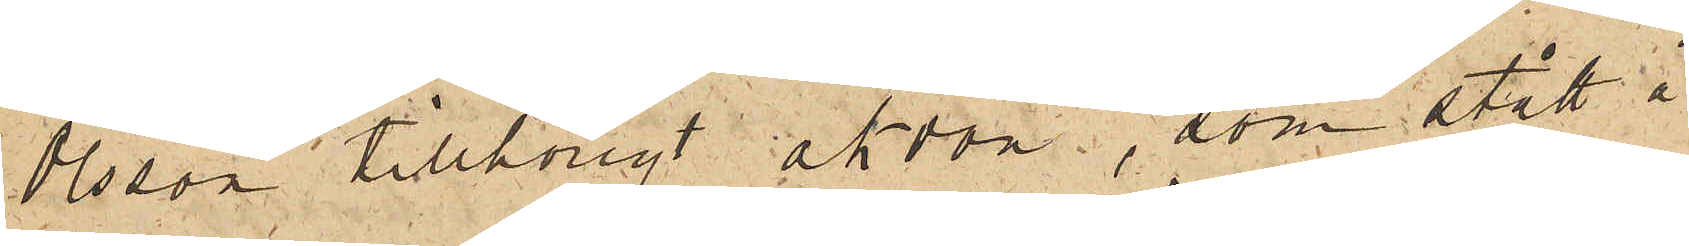Olsson tillhörigt åkdon, som stått å
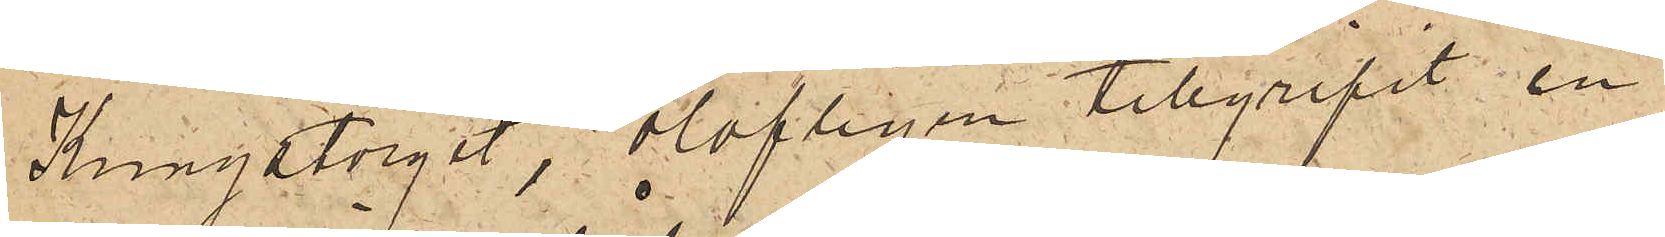Kungstorget, olofligen tillgripit en
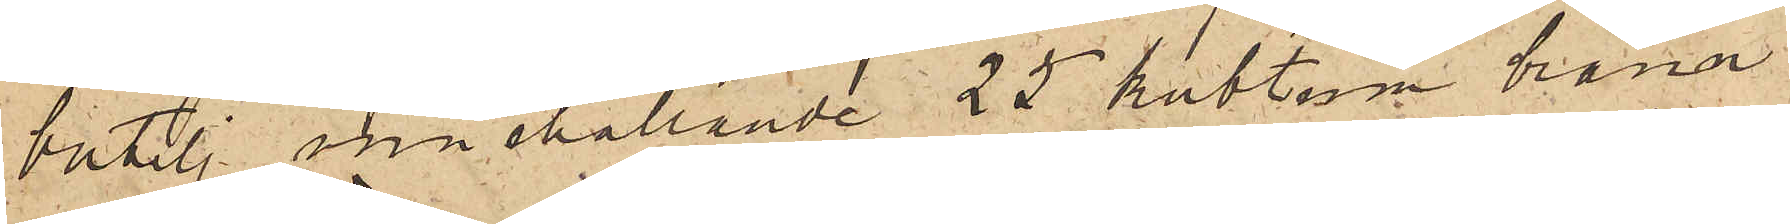butelj innehållande 25 kubtum bränn¬
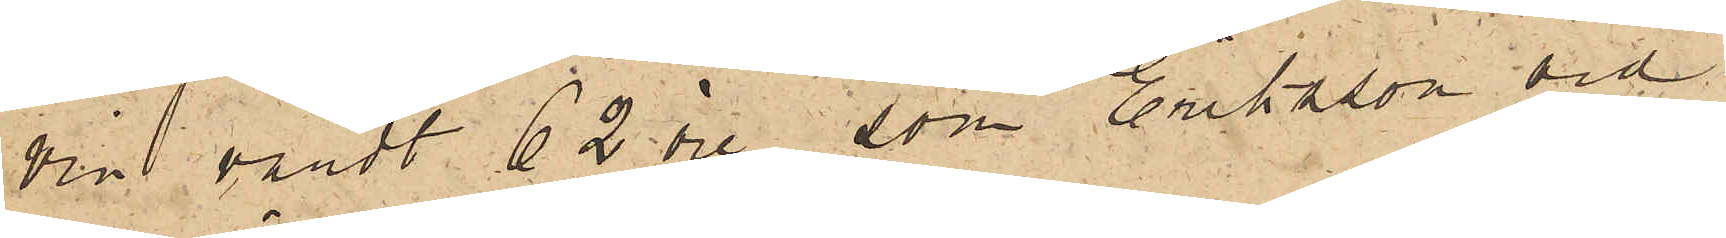vin, värdt 62 öre, som Eriksson vid
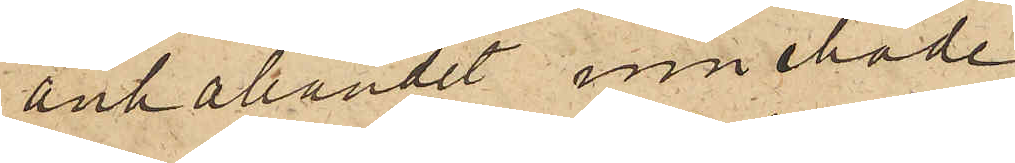anhållandet innehade.
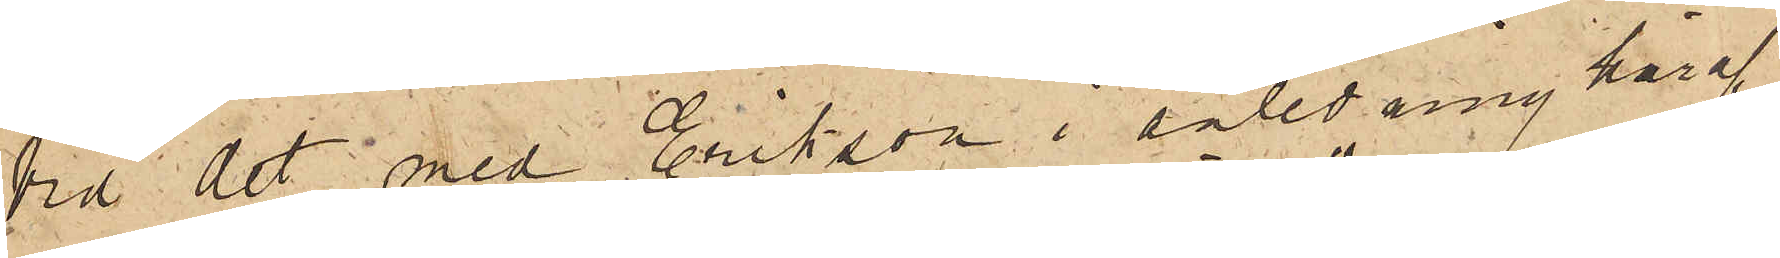Vid det med Eriksson i anledning häraf
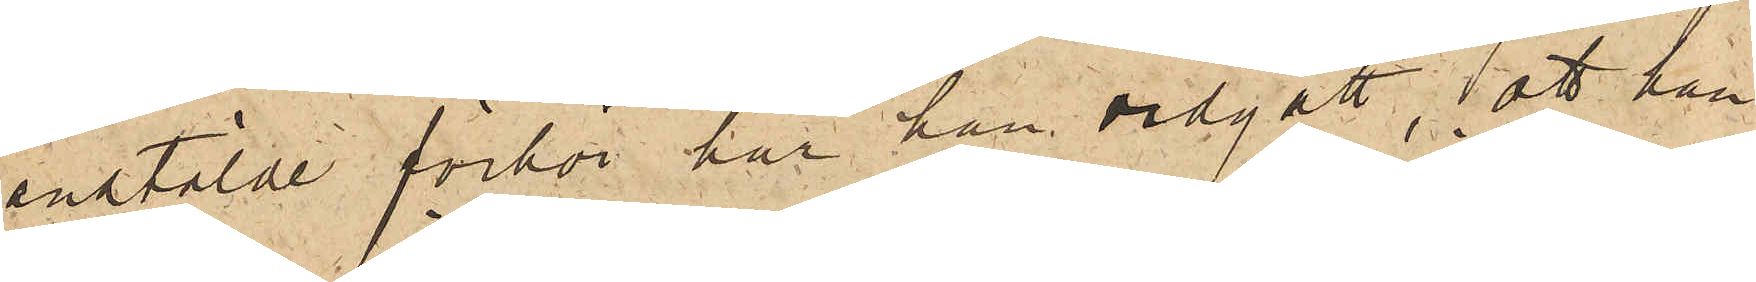anstälde förhör har han vidgått, att han
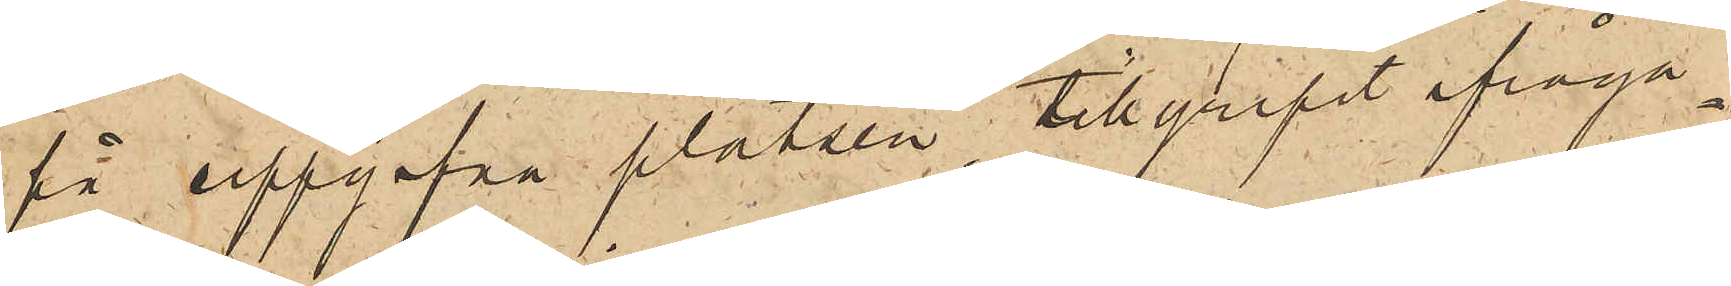på uppgifna platsen tillgripit ifråga¬
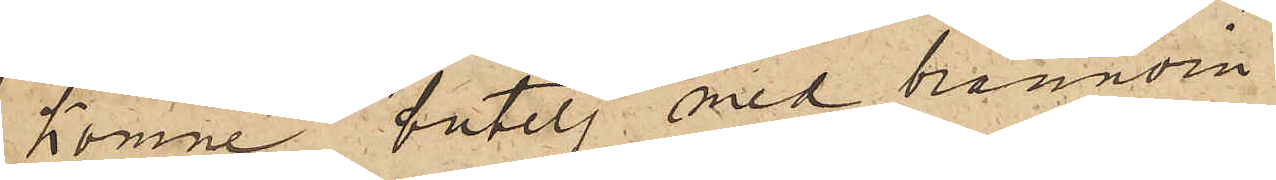komne butelj med brännvin.
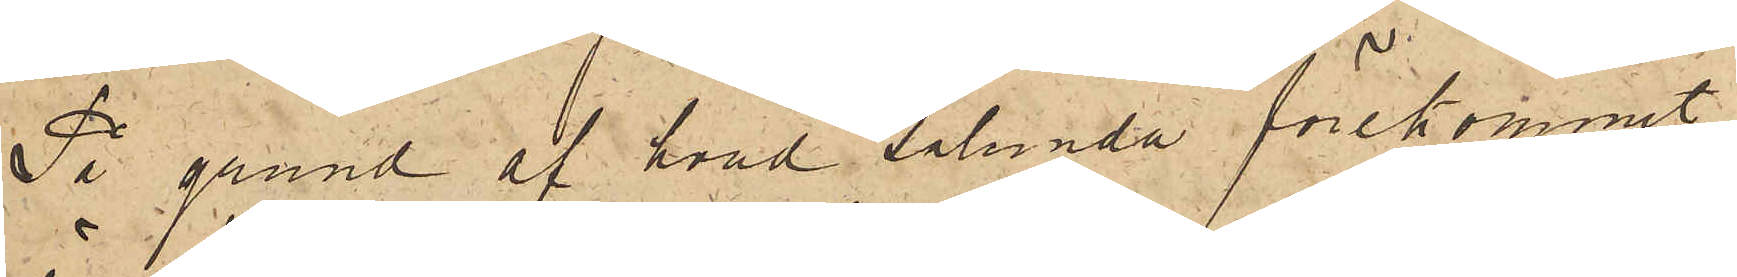På grund af hvad sålunda förekommit,
